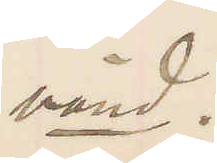vänd.
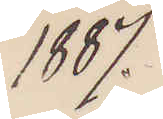1887.
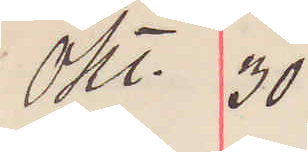Okt. 30
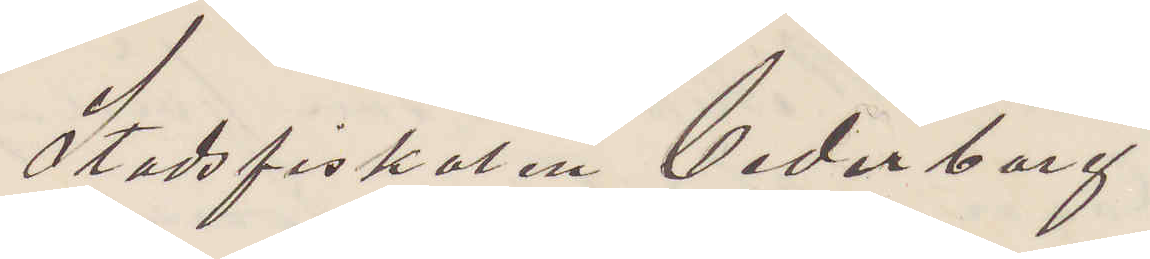Stadsfiskalen Cederborg
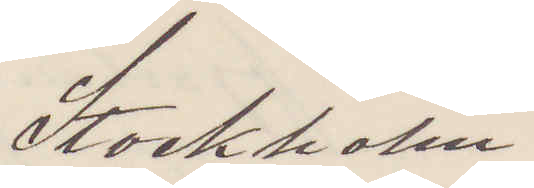Stockholm.
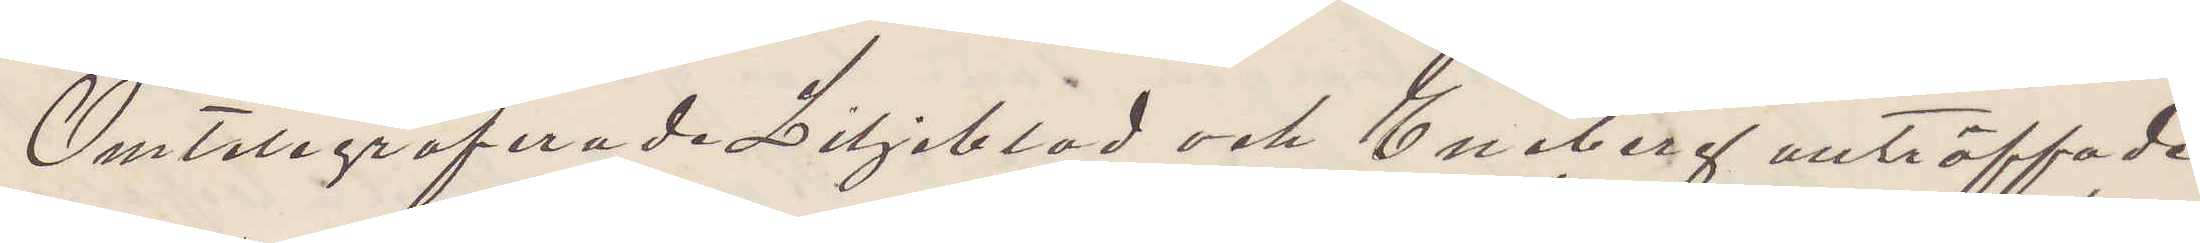Omtelegraferade Liljeblad och Eneberg anträffade
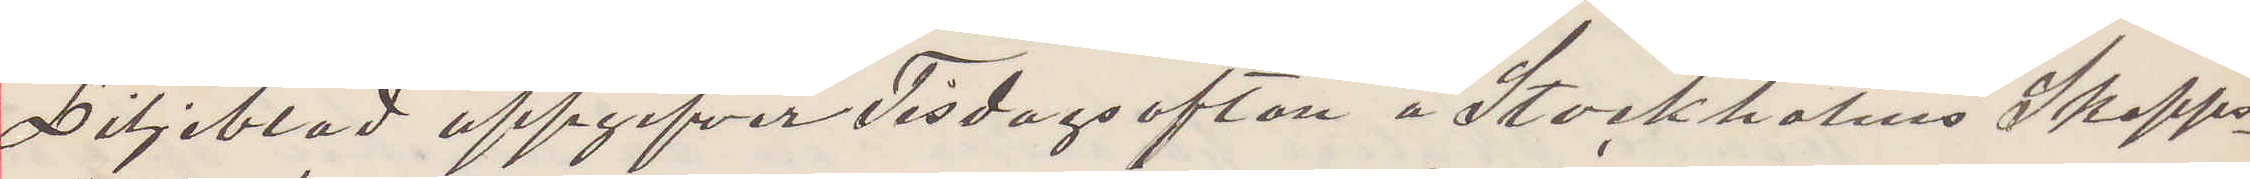Liljeblad uppgifver Tisdagsaftan å Stockholms Skepps¬
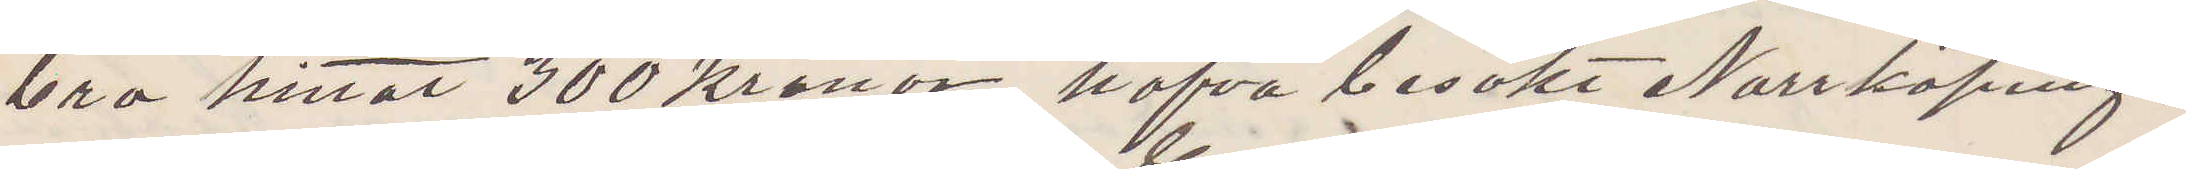bro hittat 300 kronor, hafva besökt Norrköping,
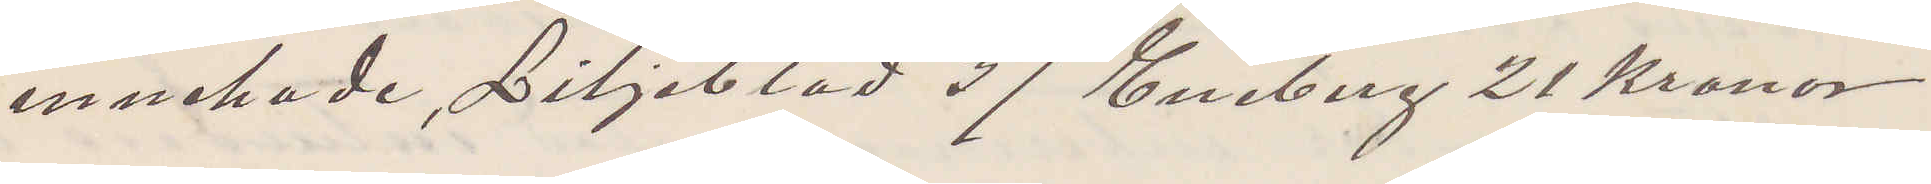innehade, Liljeblad 37 Eneberg 21 Kronor.
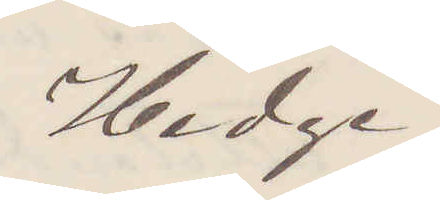Hedge
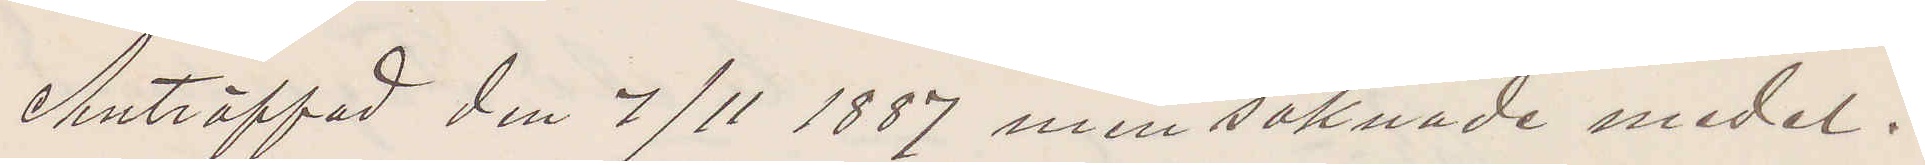Anträffad den 7/11 1887 men saknade medel.
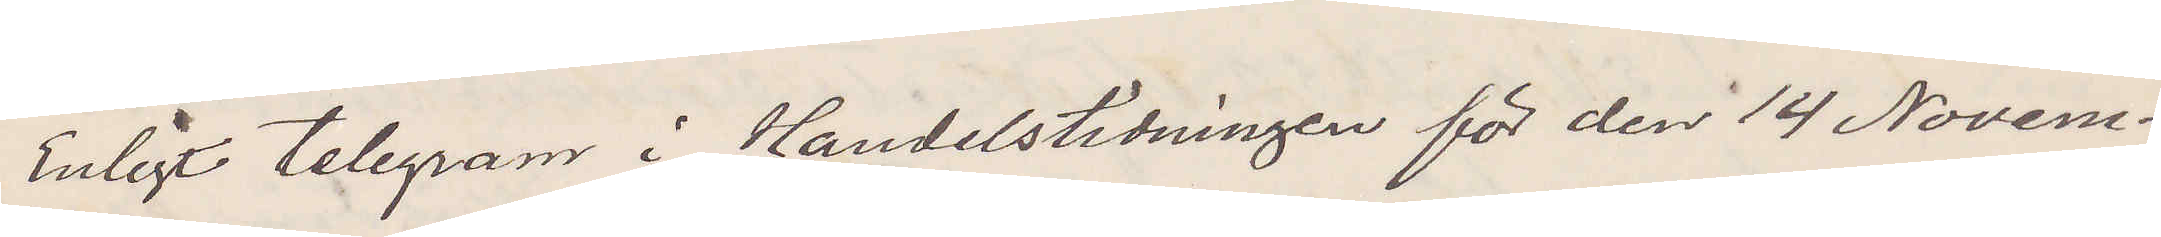Enligt telegram i Handelstidningen för den 14 Novem¬
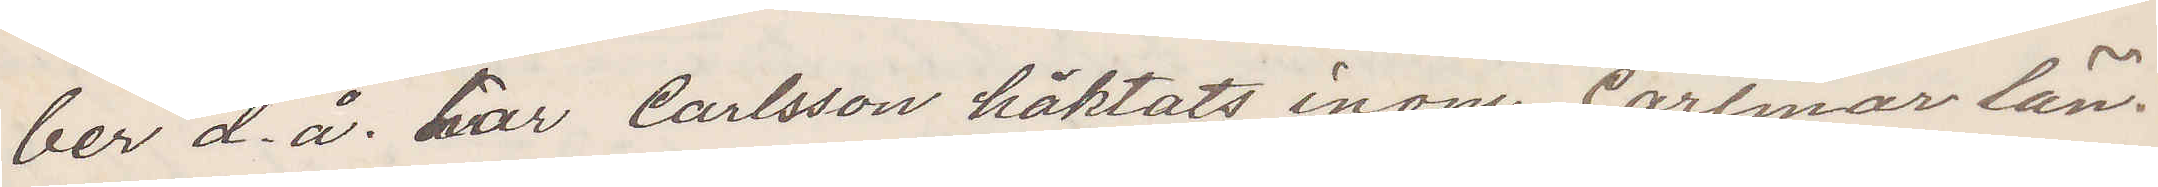ber d. å. har Carlsson häktats inom Carlmar län.
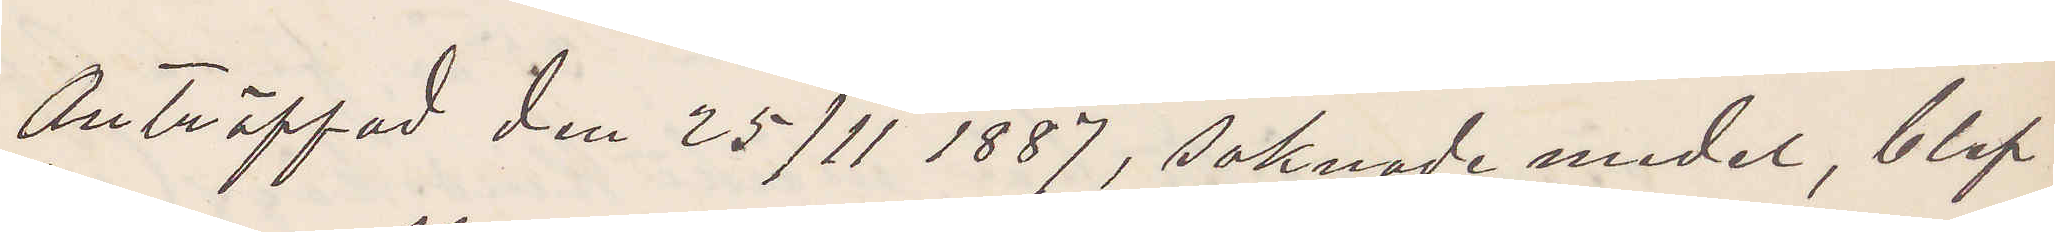Anträffad den 25/11 1887, saknade medel, blef
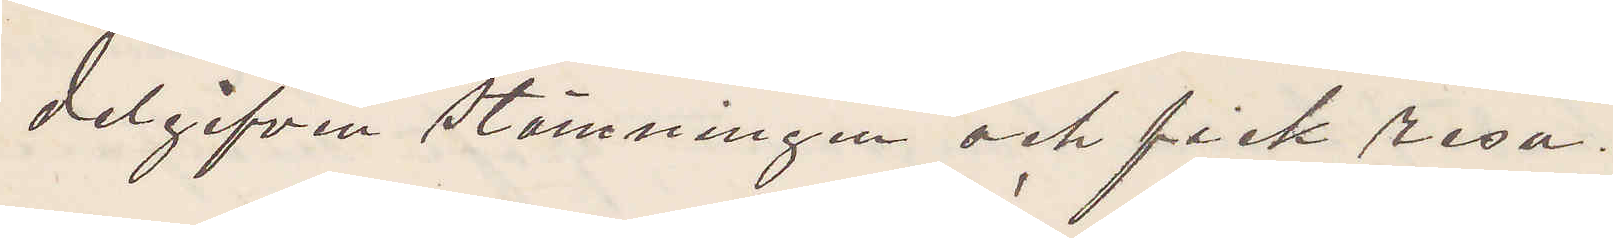delgifven stämningen och fick resa.
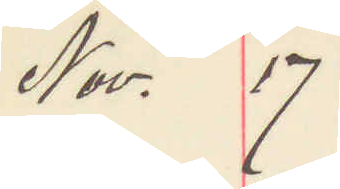Nov. 17
